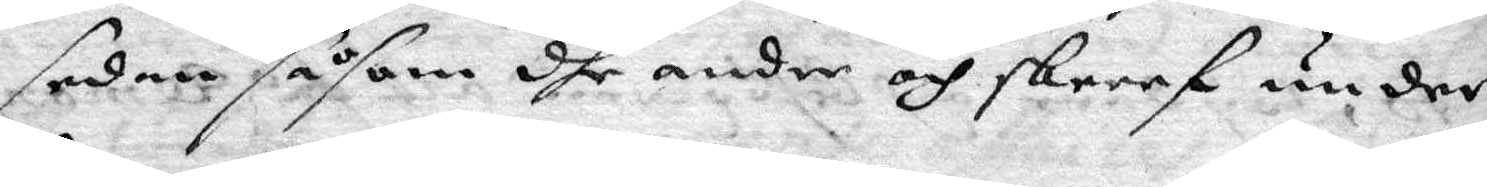sedan såsom dhe andre och skreef under
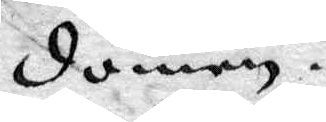domen.
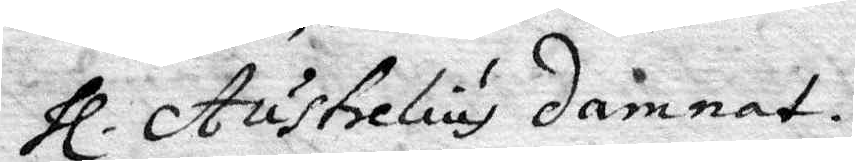hl. Austrelius damnat.
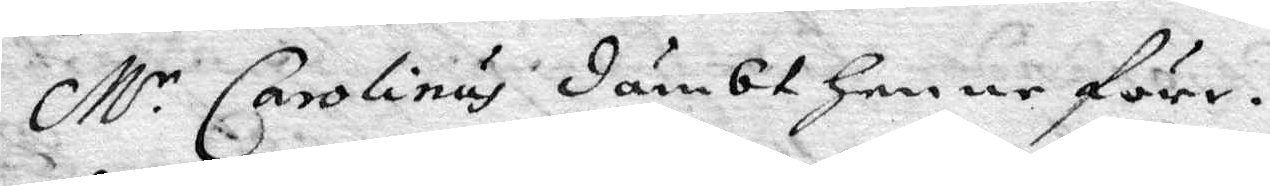M.r Carolinus dömbt henne före.
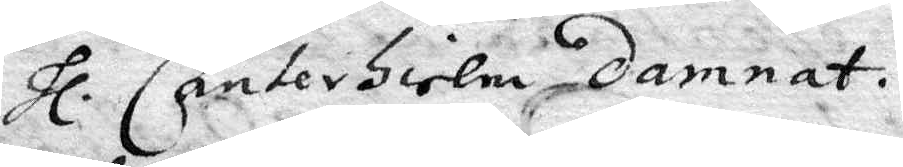hl. Canterhielm damnat.
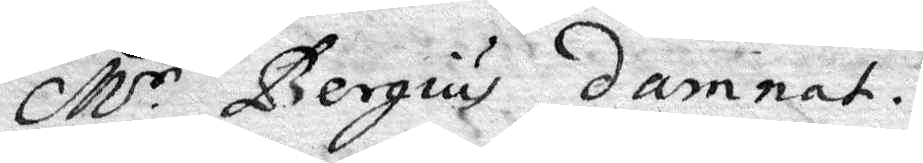M.r Bergius damnat.
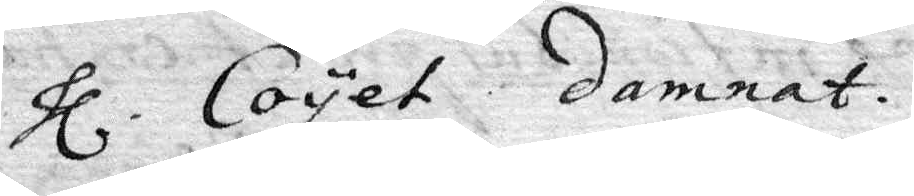hl. Coyet damnat.
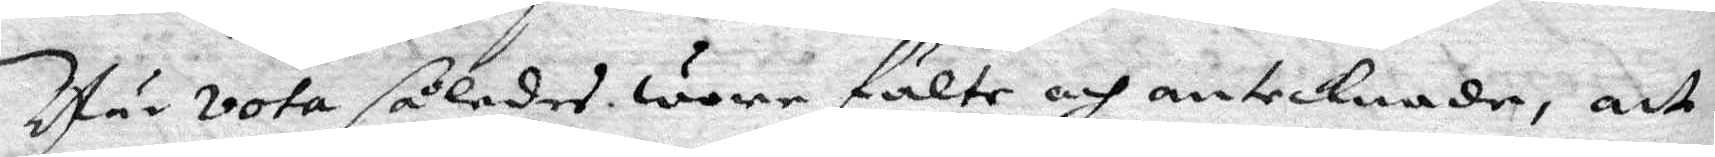När vota således wore fälte och antecknade, att
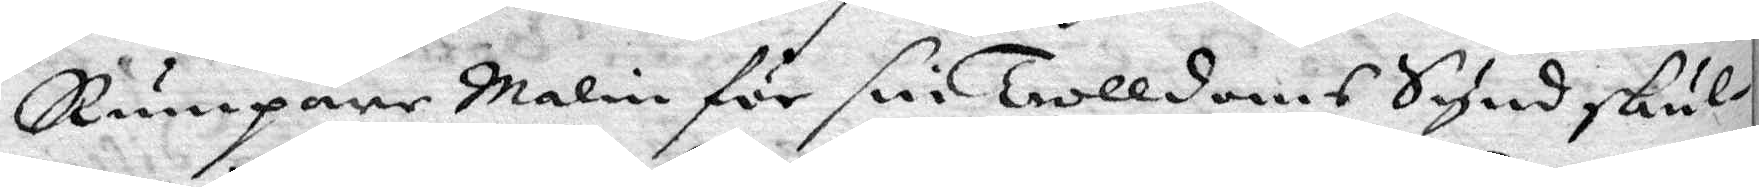Rumpare Malin för sin trolldoms Synd skul¬
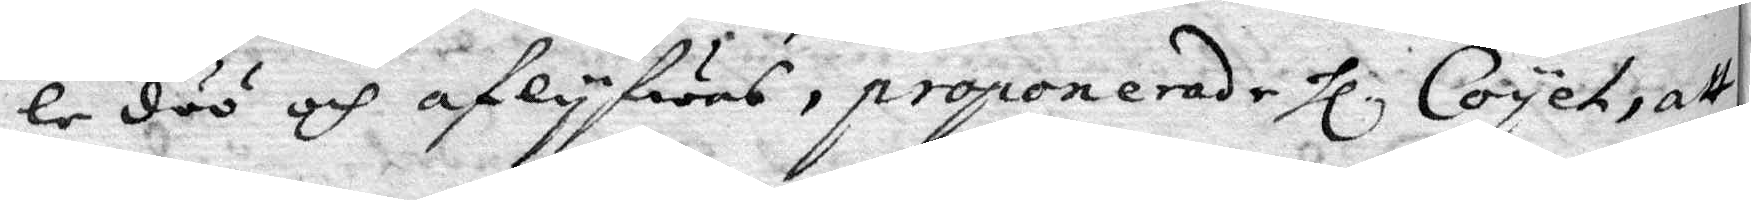le döö och aflyfwas, proponerade hl. Coyet, att
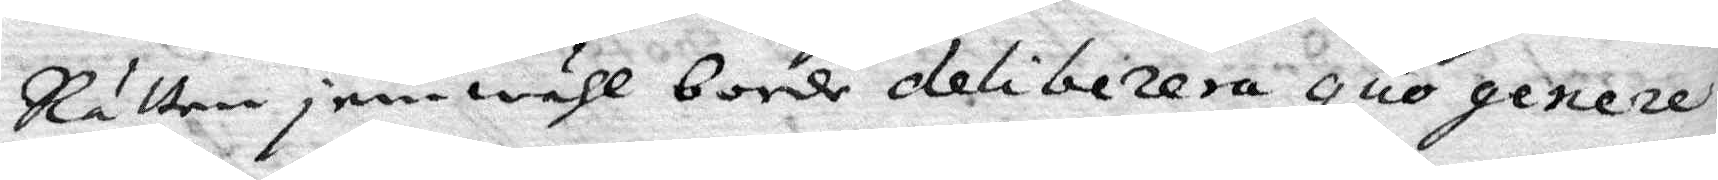Rätten je,wähl borde delibirera quo genere
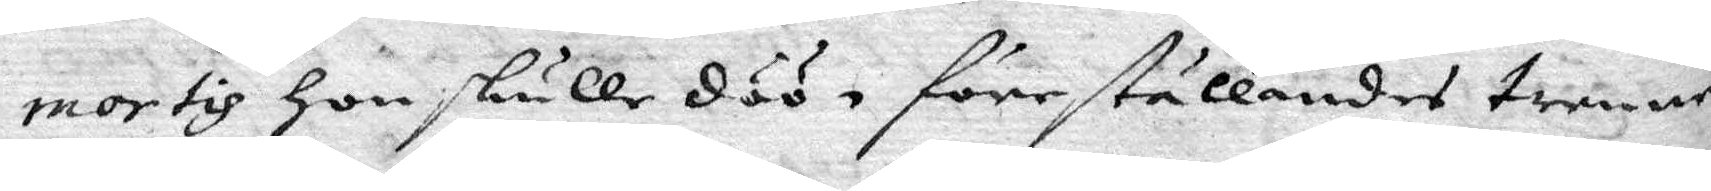mortis hon skulle döö, föreställande trenne
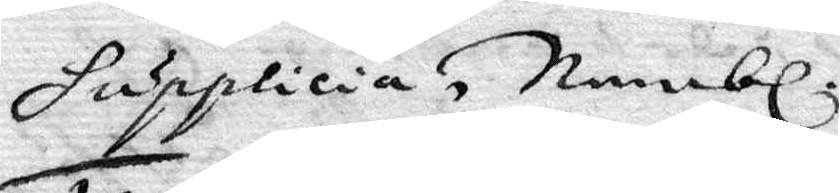Supplicia, Nembl.
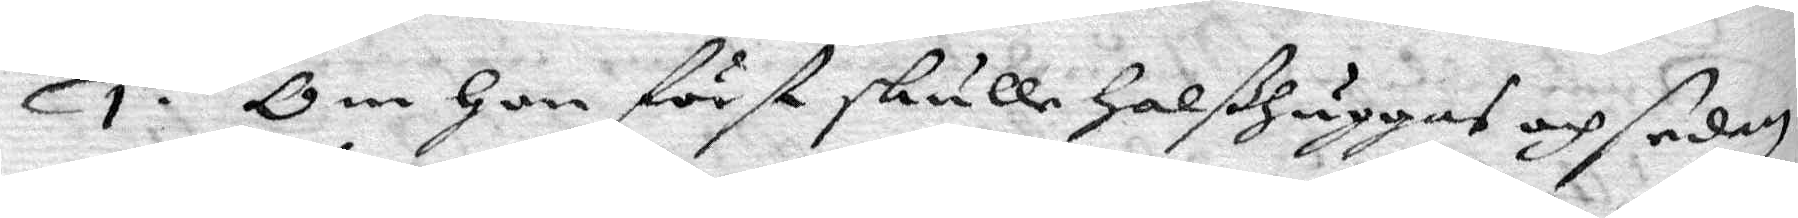1. Om hon först skulle halßhuggas och sedan
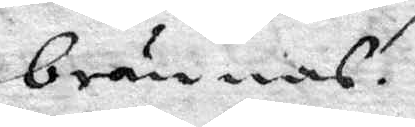brännas.
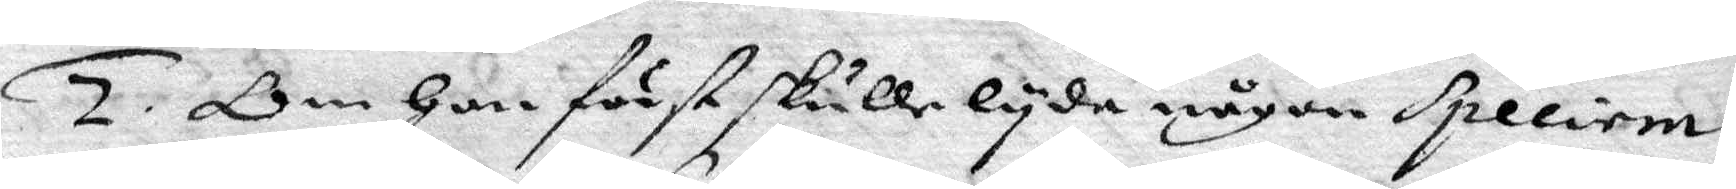2. Om hon först skulle lyda någon speliem
